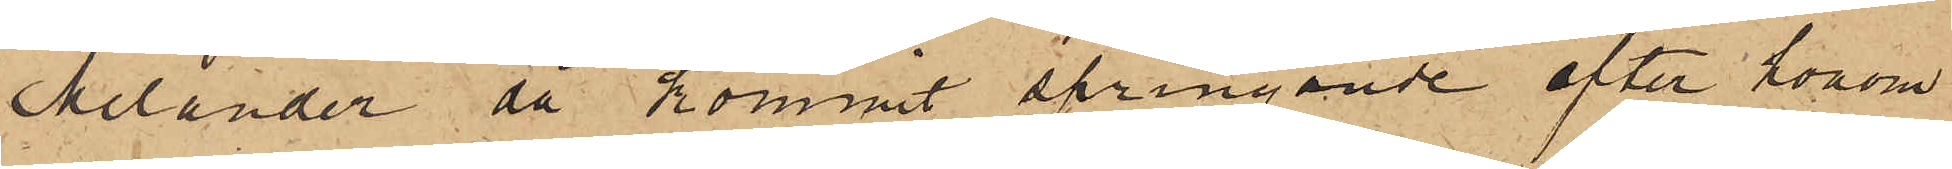Melander då kommit springande efter honom
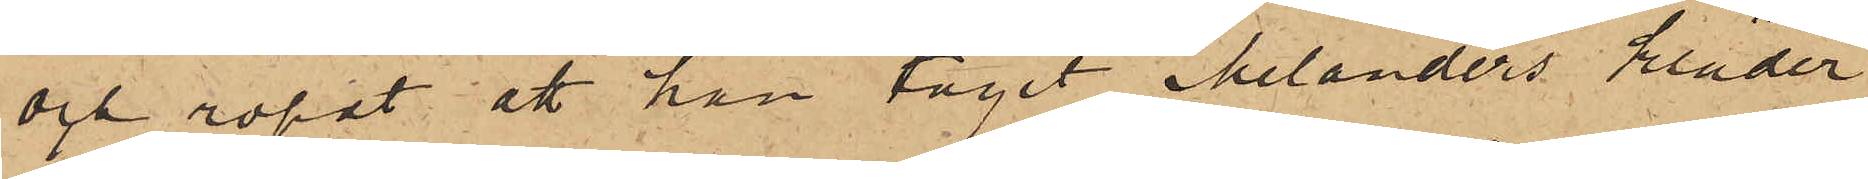och ropat att han tagit Melanders kläder
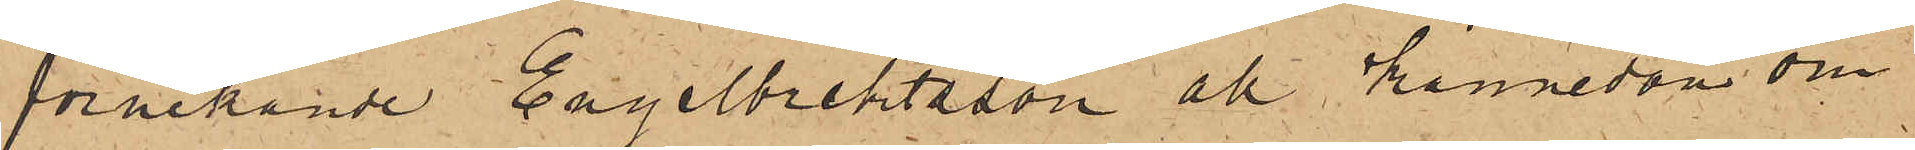förnekande Engelbrektsson all kännedom om
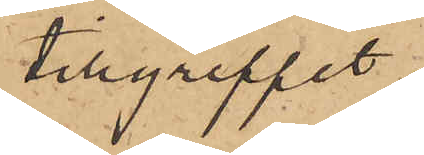tillgreppet.
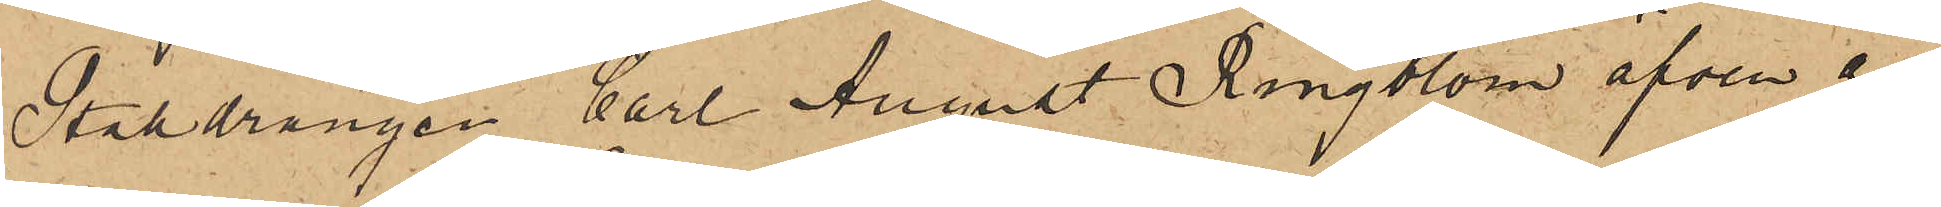Stalldrängen Carl August Ringblom äfven an¬
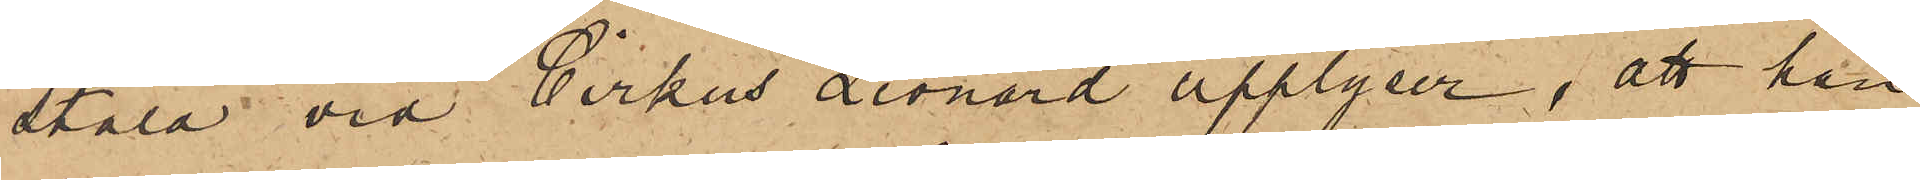stäld vid Cirkus Leonard upplyser, att han
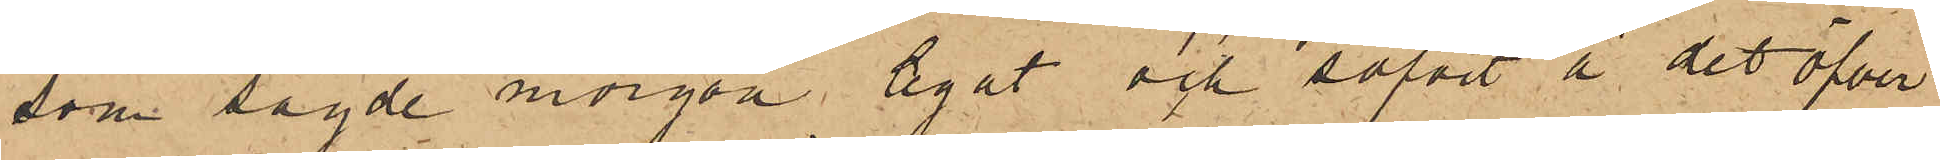som sagde morgon legat och sofvit å det öfver
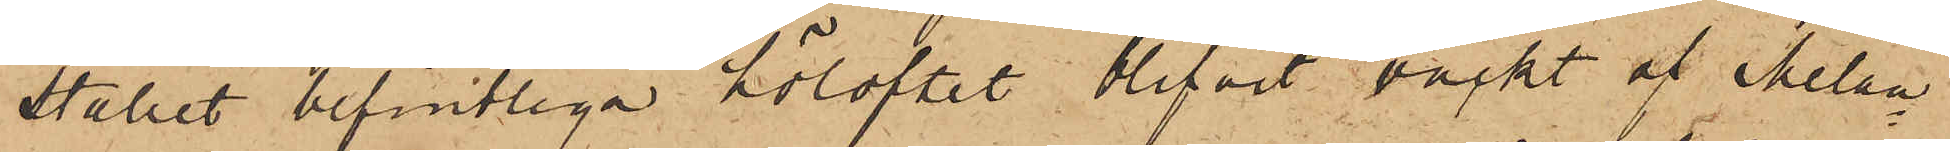stallet befintliga höloftet blifvit väckt af Melan¬
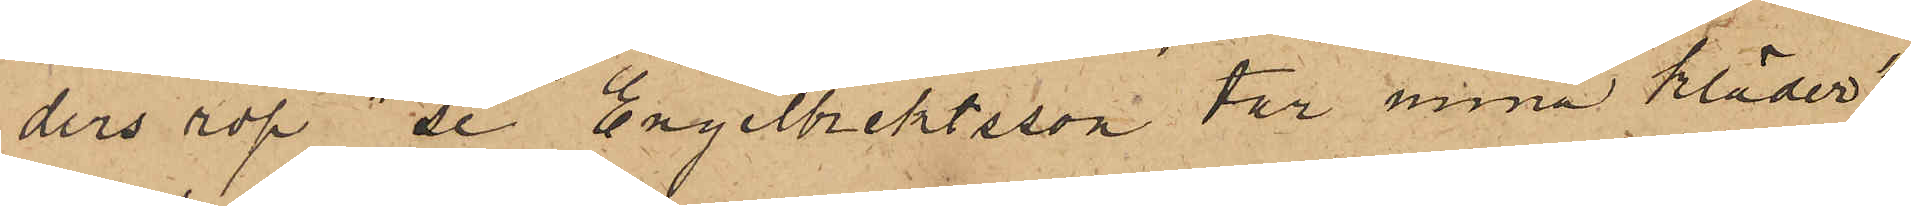ders rop "Se Engelbrektsson tar mina kläder",
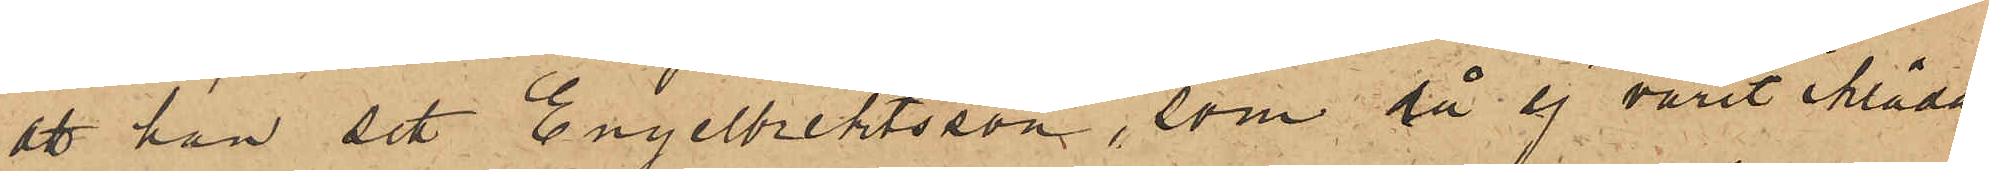att han sett Engelbrektsson, som då ej varit iklädd
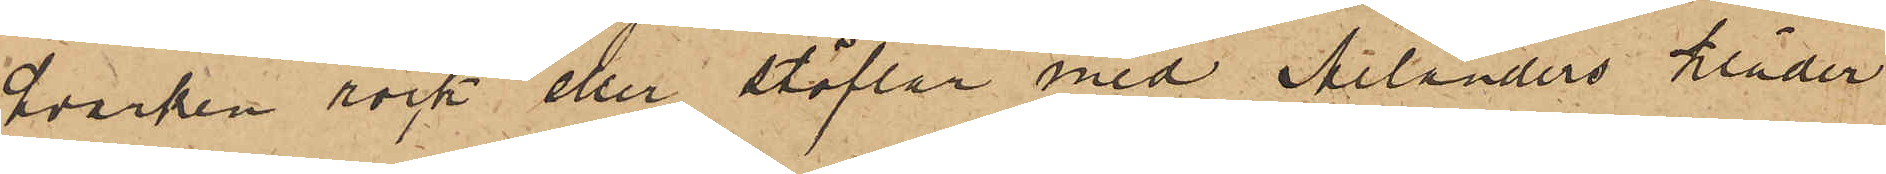hvarken rock eller stöflar med Melanders kläder
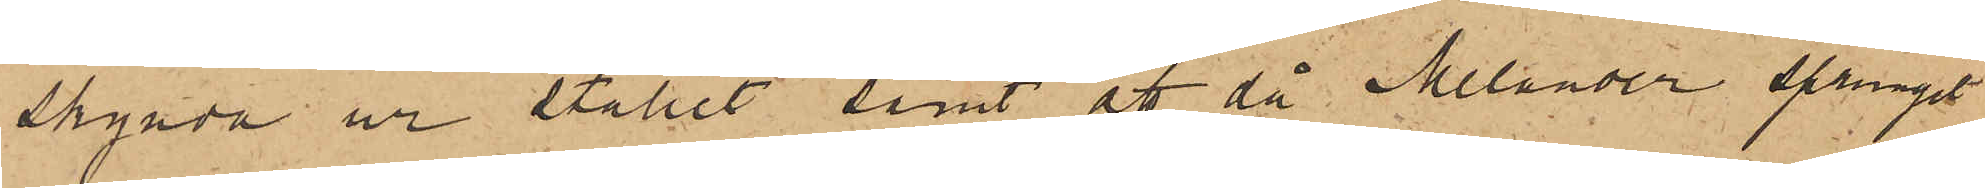skynda ur stallet, samt att då Melander sprungit
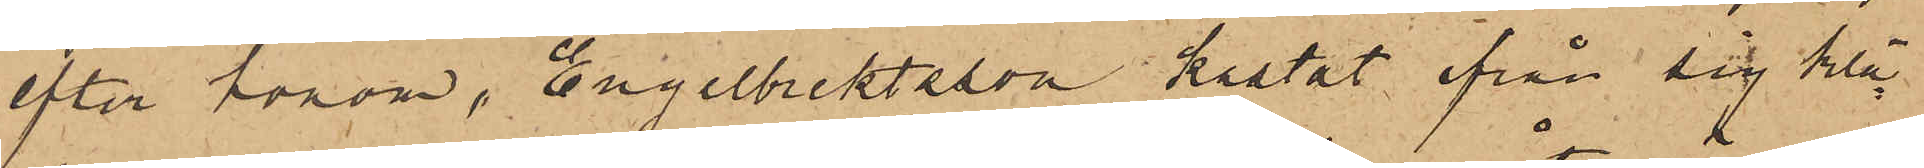efter honom, Engelbrektsson kastat ifrån sig klä¬
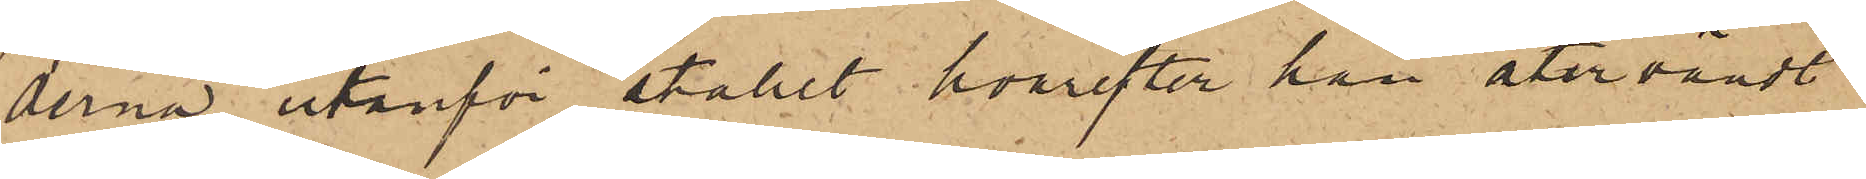derna utanför stallet, hvarefter han återvändt
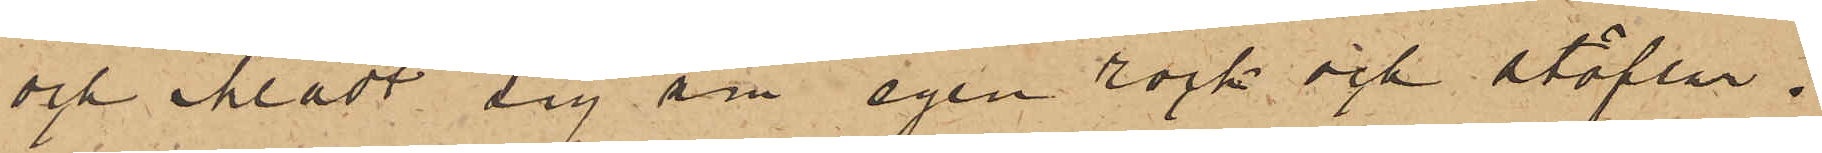och klädt sig sin egen rock och stöflar.
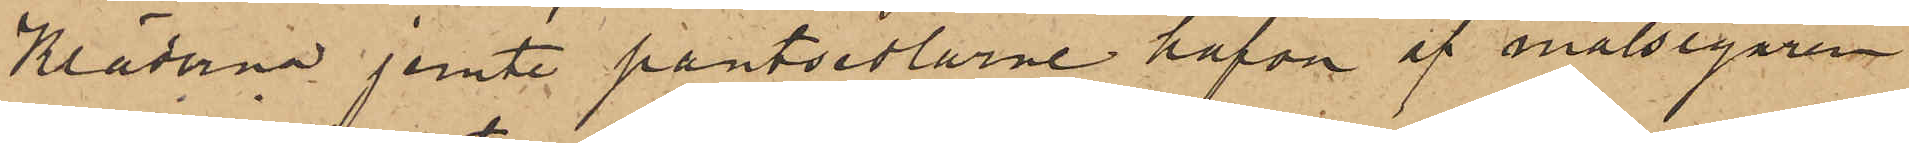Kläderna jemte pantsedlarne hafva af målsegaren
